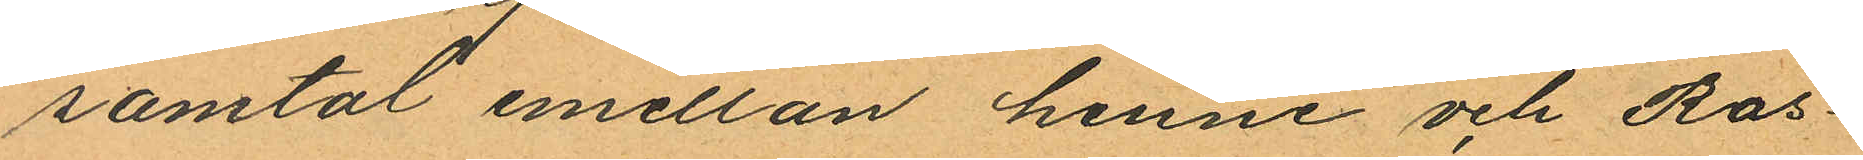samtal emellan henne och Ros¬
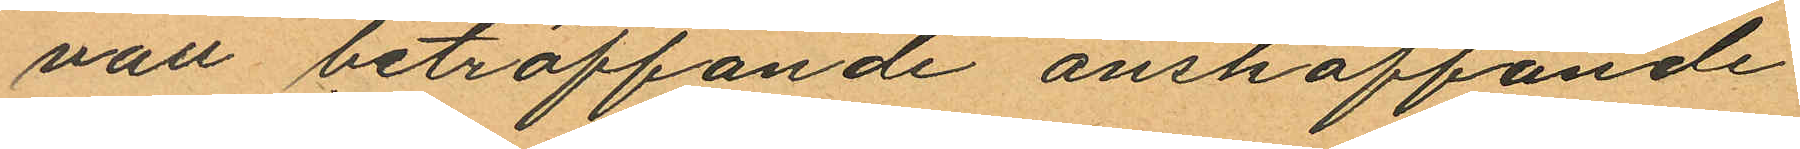vall beträffande anskaffande
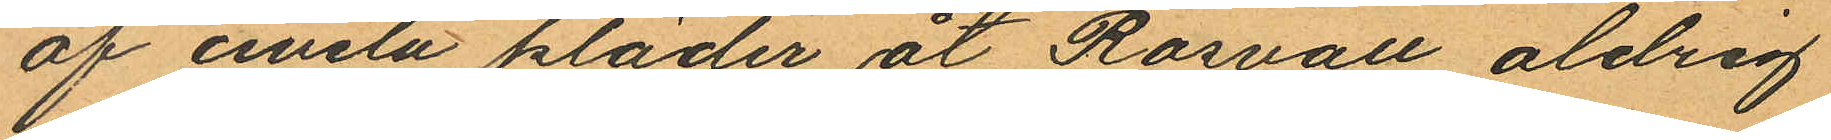af civila kläder åt Rosvall aldrig
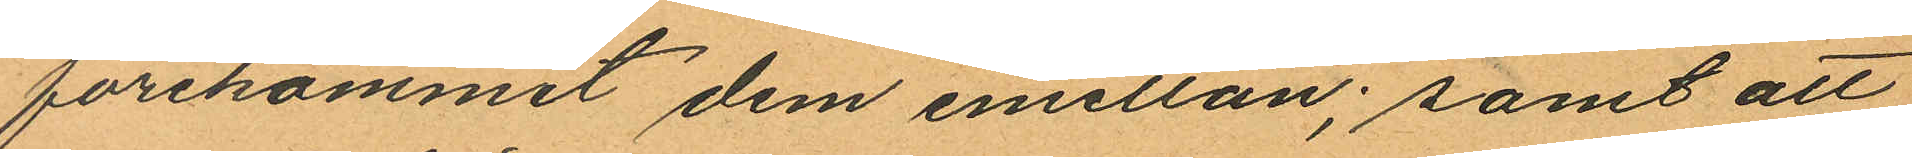förekommit dem emellan; samt att
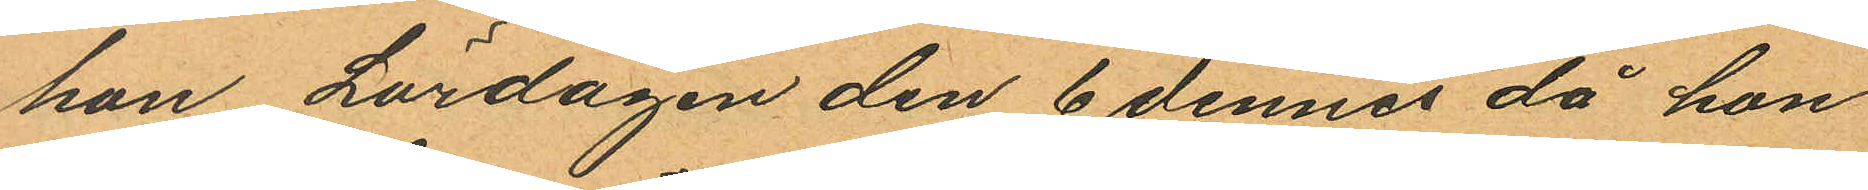hon Lördagen den 6 dennes då hon
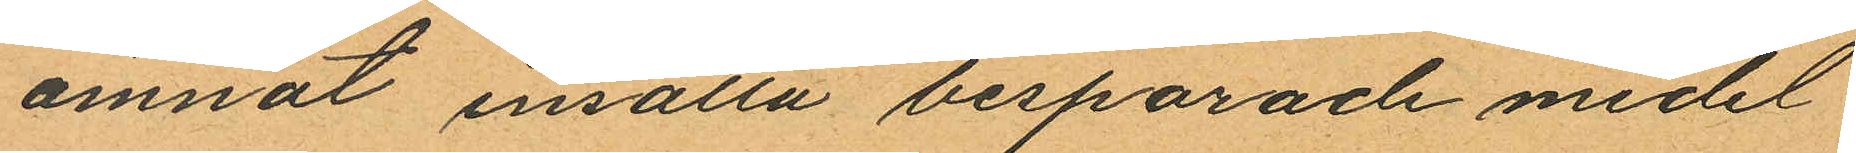ämnat insätta besparade medel
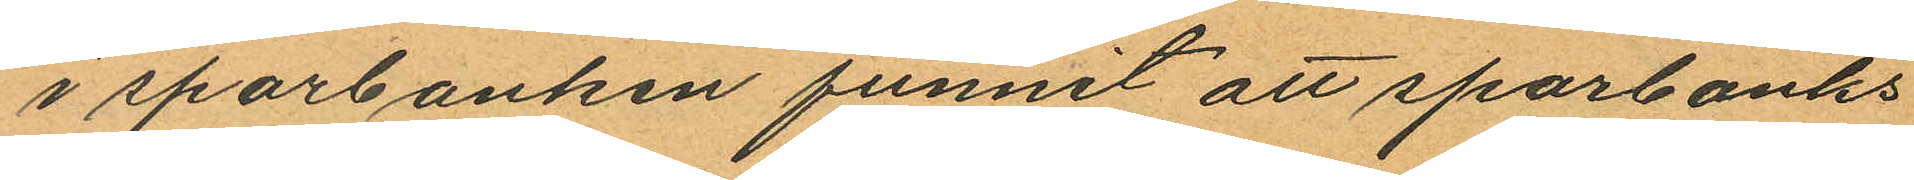i sparbanken funnit att sparbanks
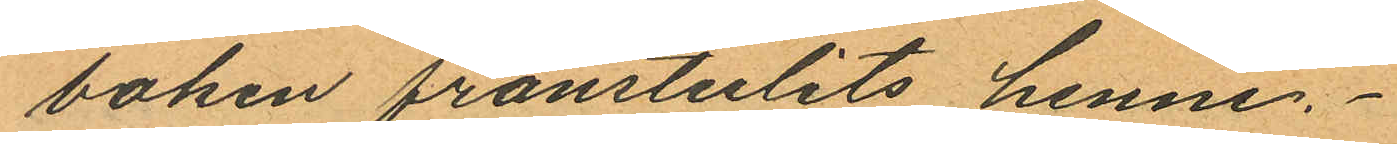boken frånstulits henne.
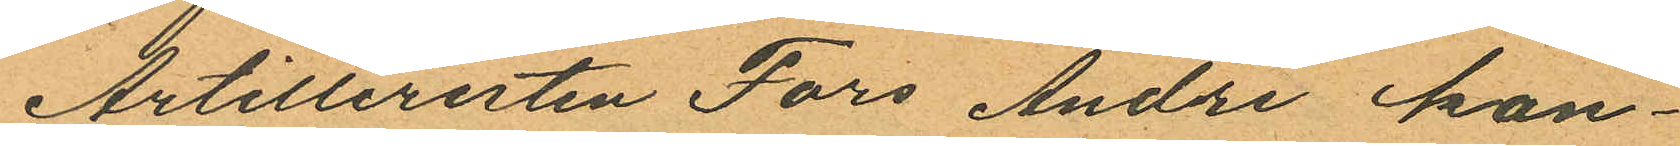Artilleristen Fors Andre kon¬
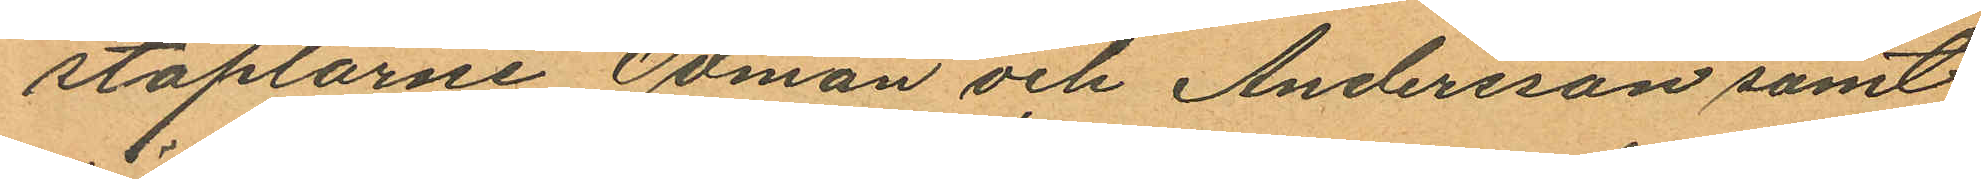staplarne Ödman och Andersson samt
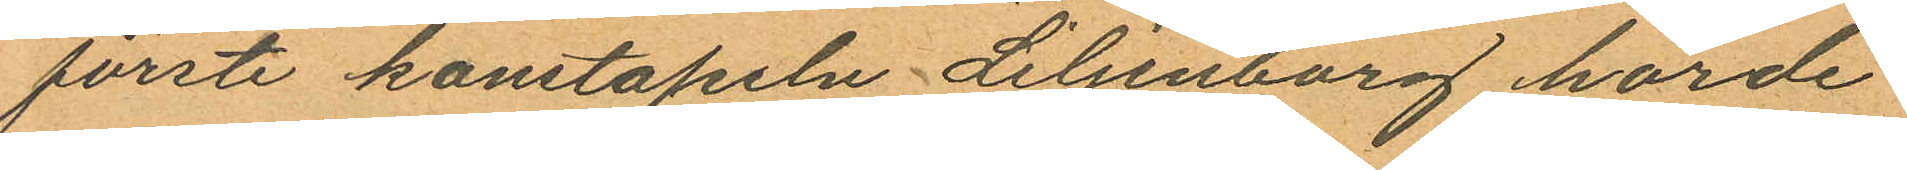förste konstapeln Liljenborg hörde
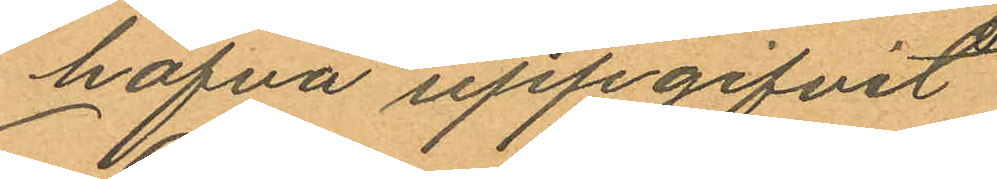hafva uppgifvit.
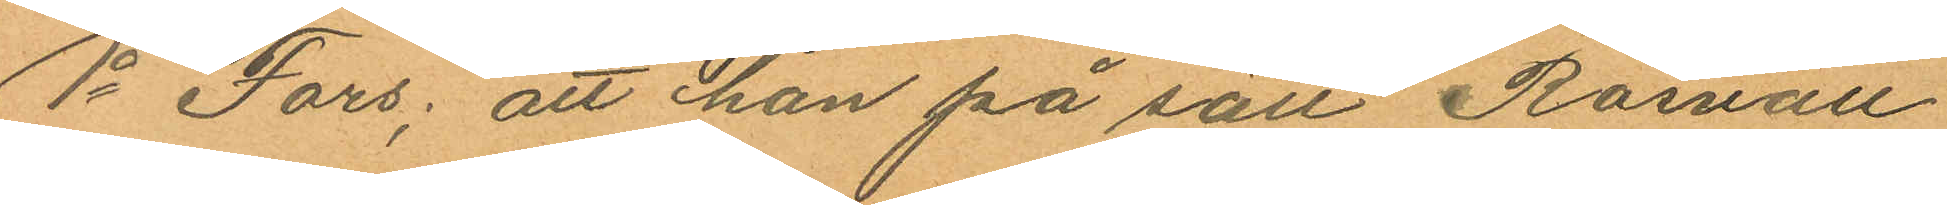1o Fors; att han på sätt Rosvall
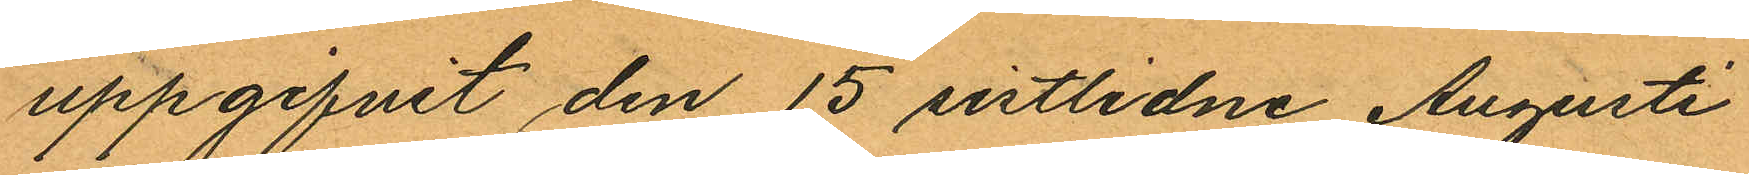uppgifvit den 15 sistlidne Augusti
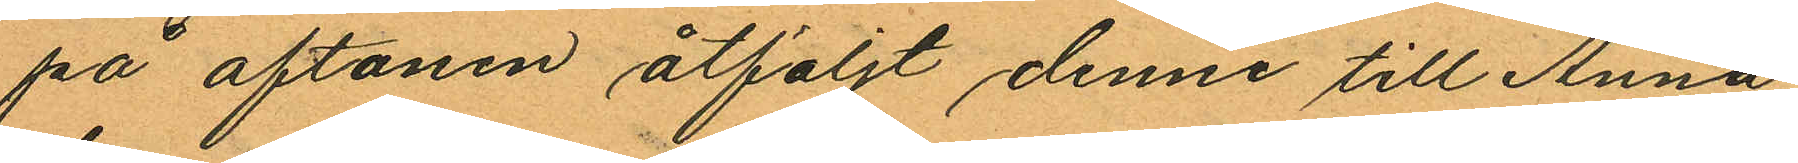på aftonen åtföljt denne till Anna
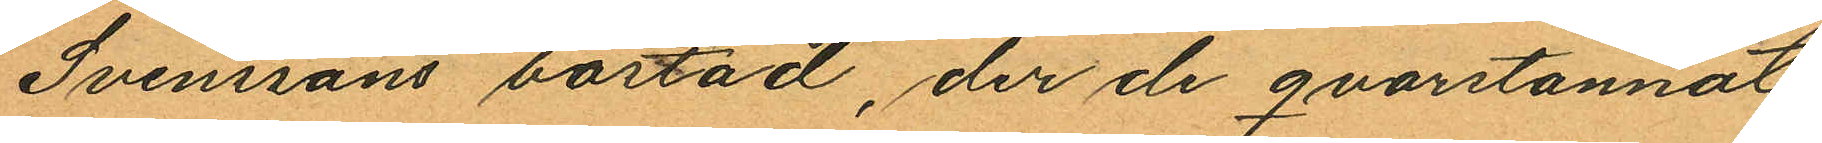Svenssons bostad, der de qvarstannat
